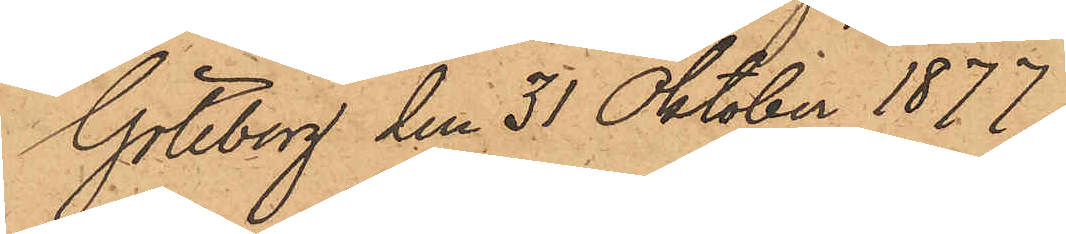Göteborg den 31 Oktober 1877.
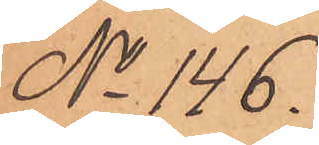No 146.
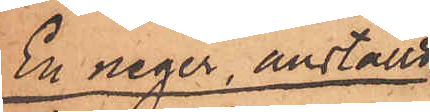En neger, anställd
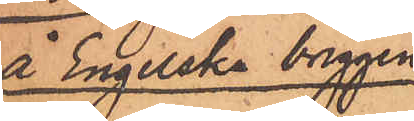å Engelska briggen
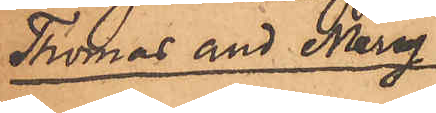Thomas and Mary
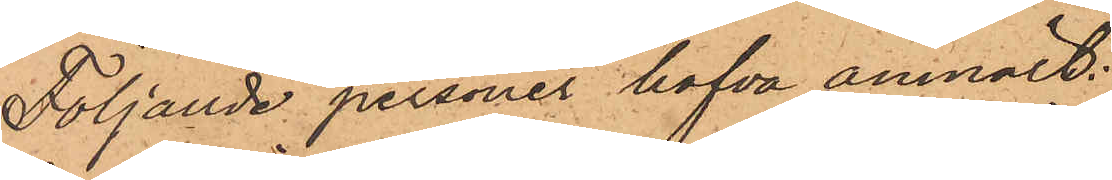Följande personer hafva anmält:
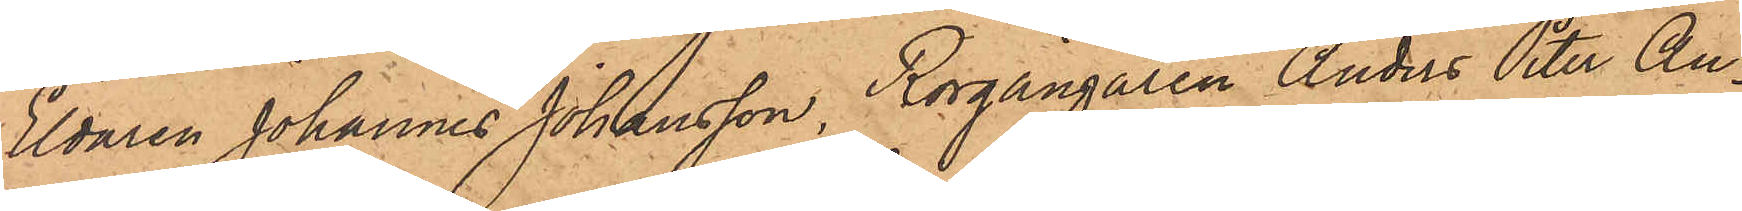Eldaren Johannes Johansson, Rorgängaren Anders Peter An¬
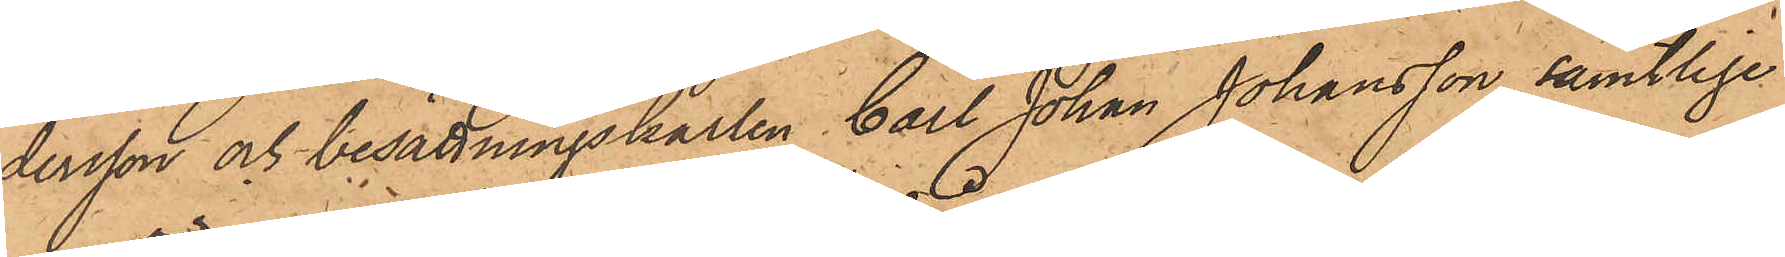dersson och besättningskarlen Carl Johan Johansson, samtlige
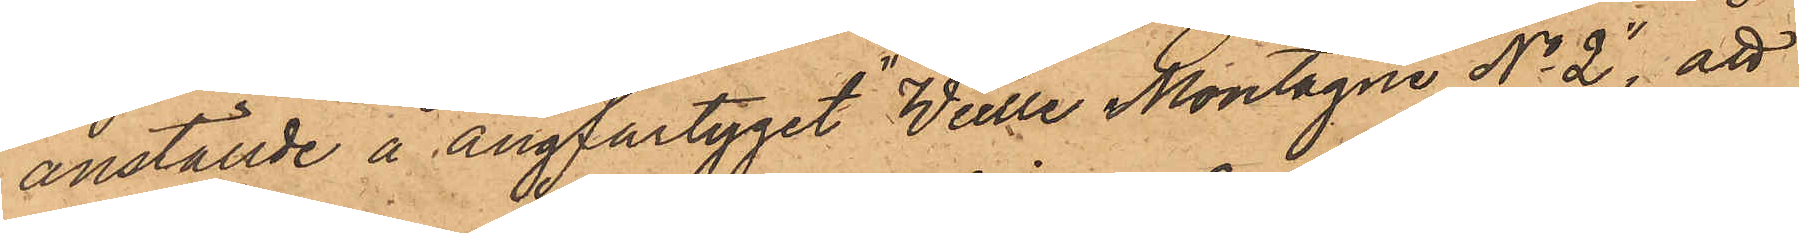anställde å ångfartyget "Weille Montagne No 2", att
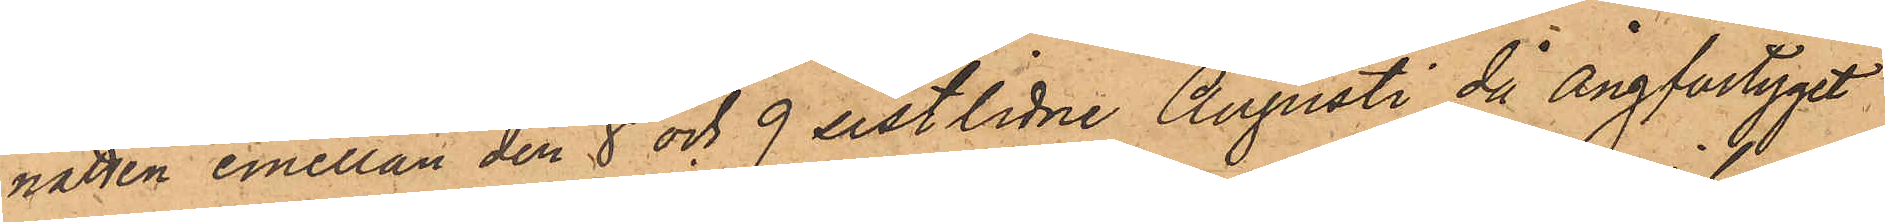natten emellan den 8 och 9 sistlidne Augusti då Ångfartyget
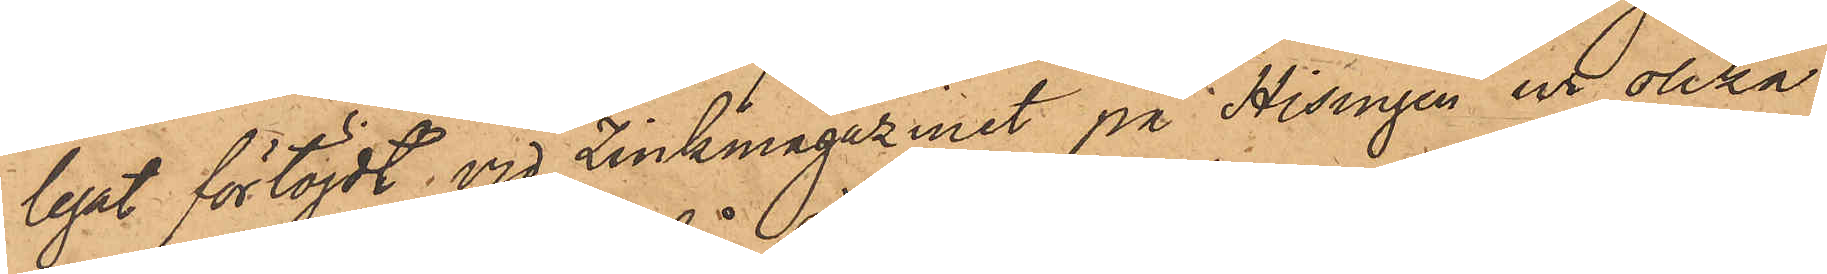legat förtöjdt vid Zinkmagazinet på Hisingen ur olika
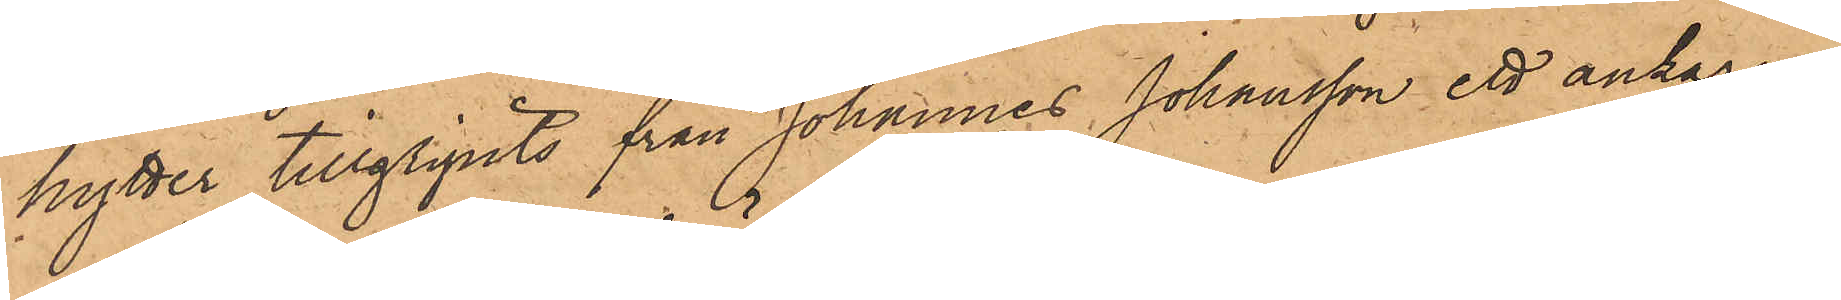hytter tillgripits från Johannes Johansson ett ankarur
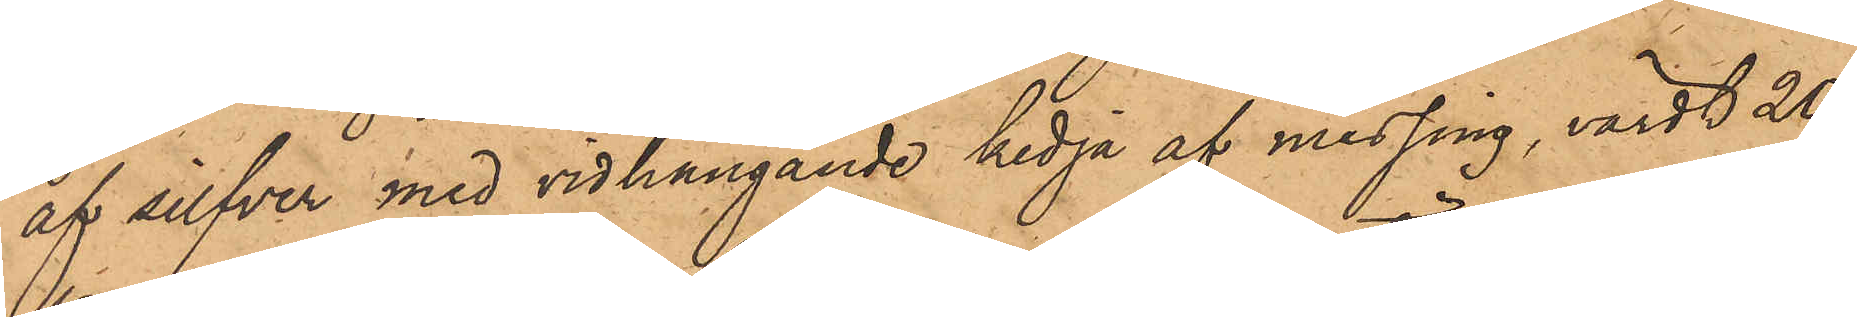af silfver med vidhängande kedja af messing, värdt 20
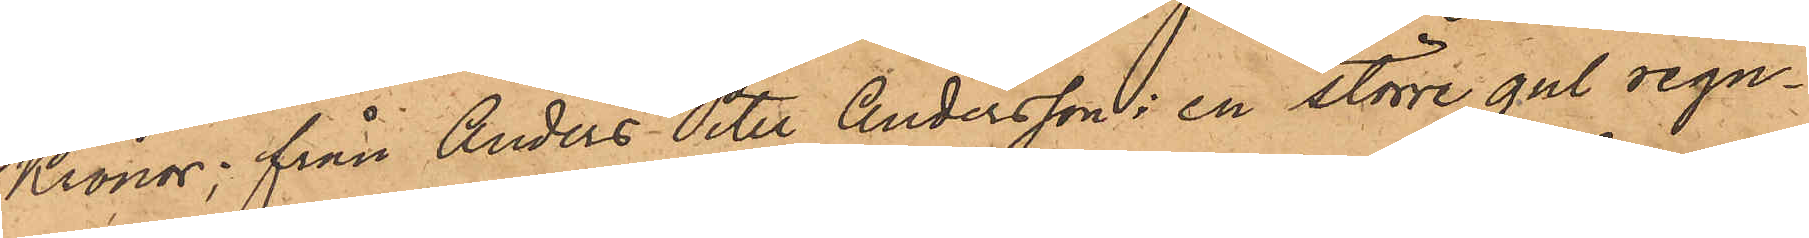Kronor; från Anders Peter Andersson: en större gul regn¬
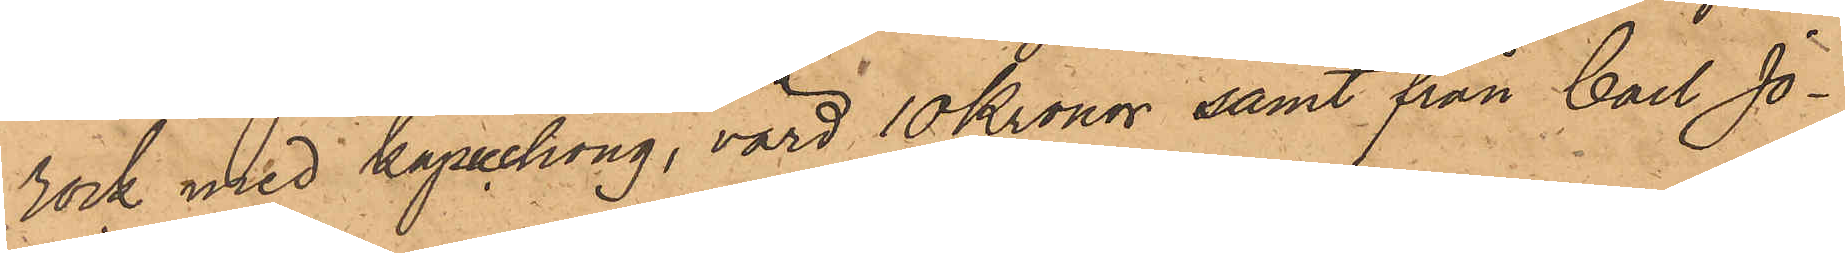rock med Kapuchong, värd 10 Kronor samt från Carl Jo¬
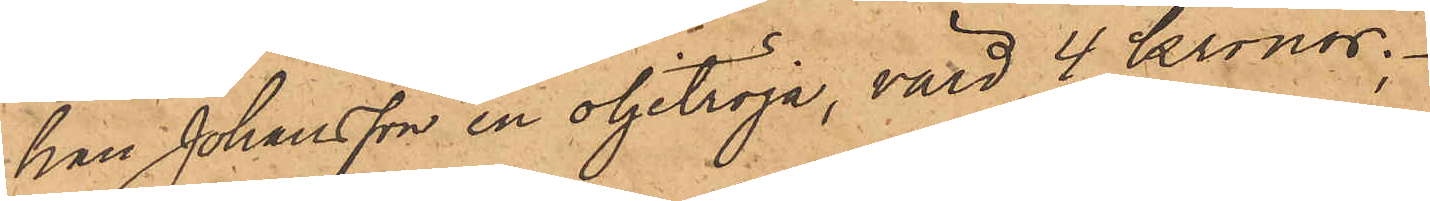han Johansson en oljetröja, värd 4 Kronor.
